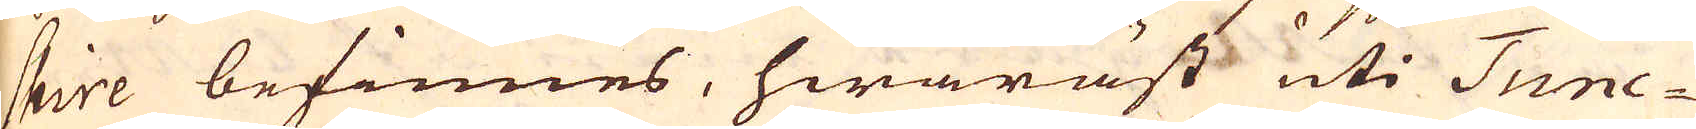shire befinnes, hwaräst uti Tunc-
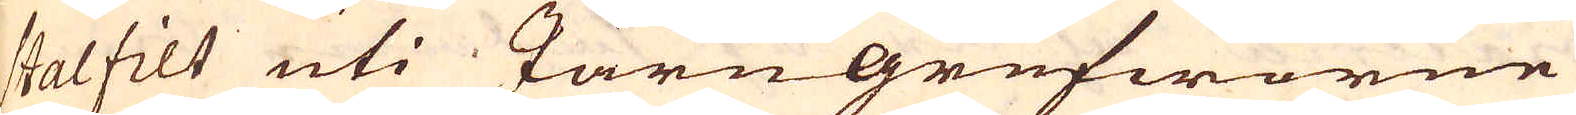stalfilt uti Järngrufworne
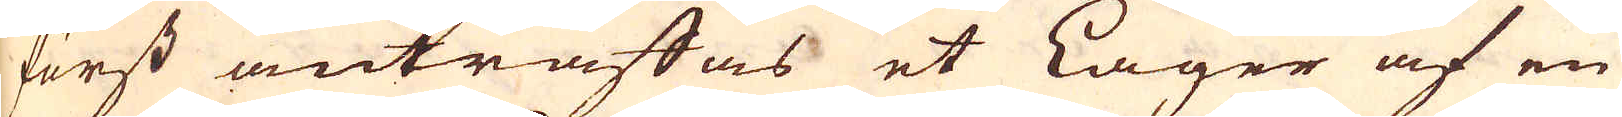först anträffas et Lager af en
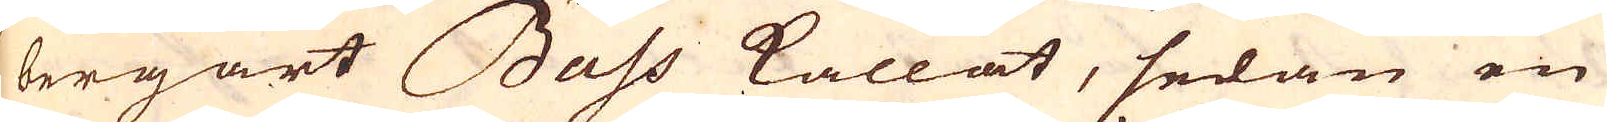bergart Bass kallat, sedan en
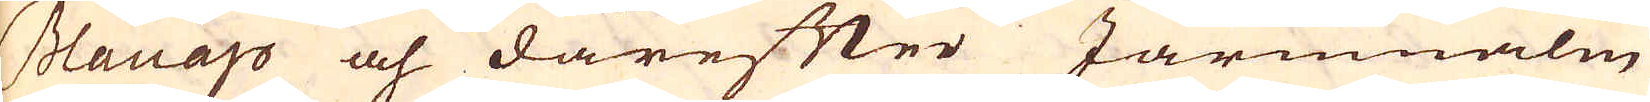Blanap och därefter Järnmalm
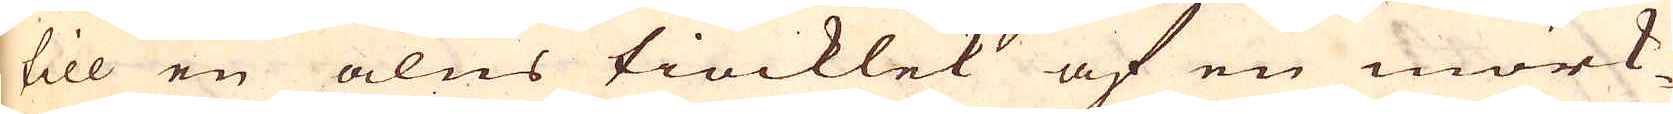till en alns tiocklek af en mörk-
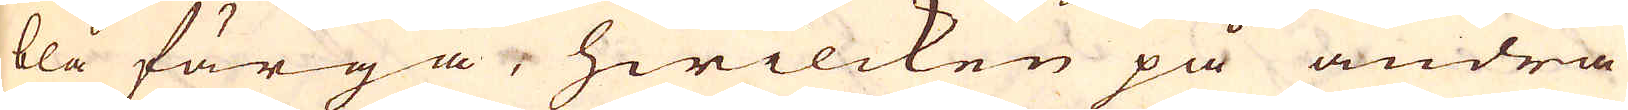blå färga, hwilcken på andra
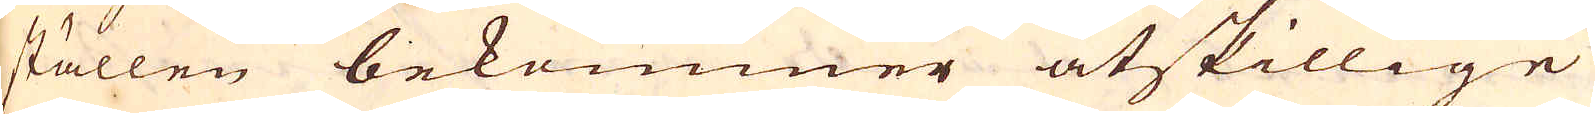ställen bekommer åtskillige
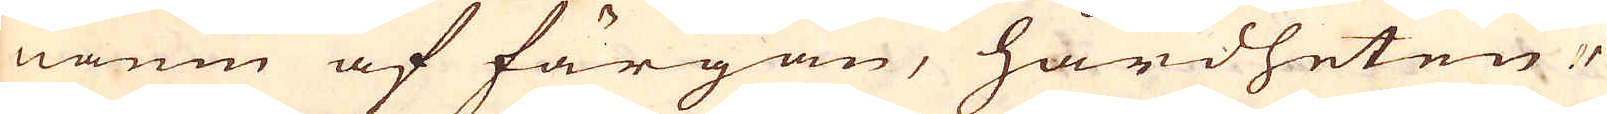namn af färgan, hårdheten,
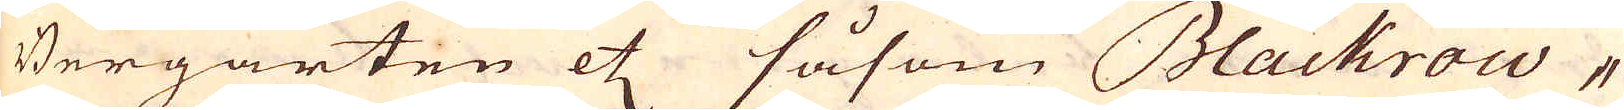Bergarten etc såsom Blackrow-
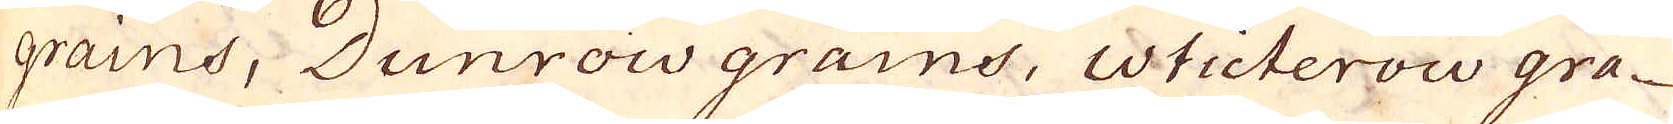grains, Dunrow grains, Wticterow gra-
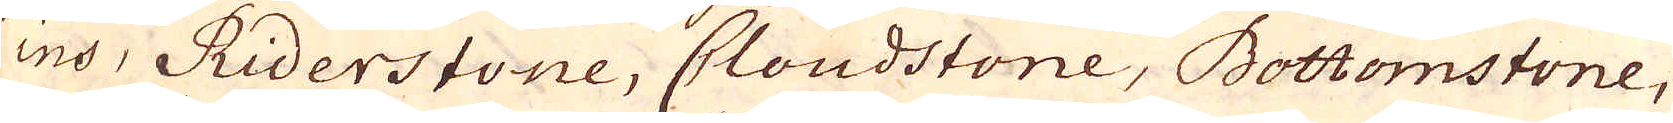ins, Riderstone, Cloudstone, Bottomstone,
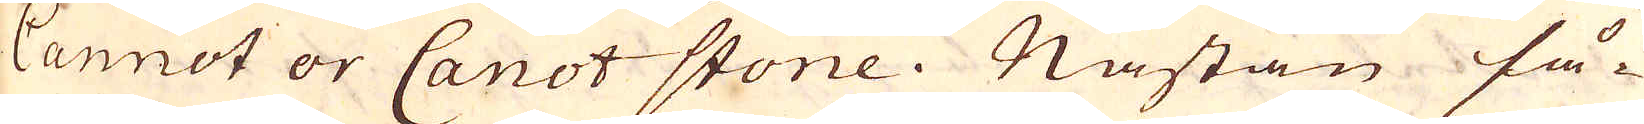Cannot or Canot stone. Nästan så-
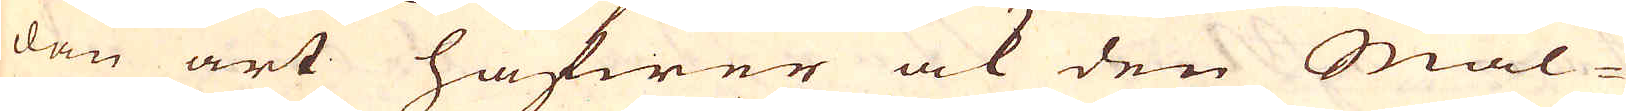dan art hafwer ock den Mal-
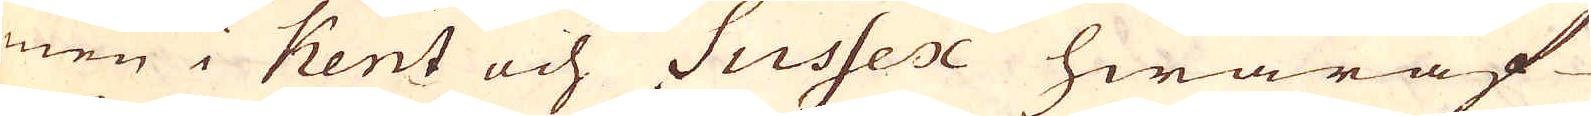men i Kent och Sussex hwaraf
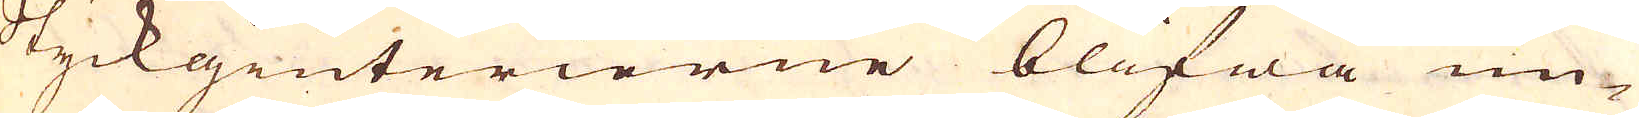Styckgiuterierne blifwa un-
